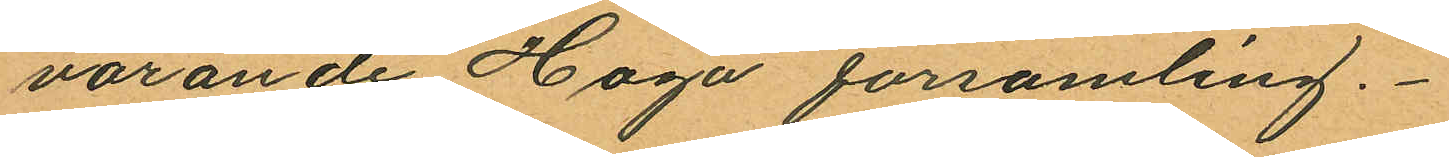varande Haga församling.
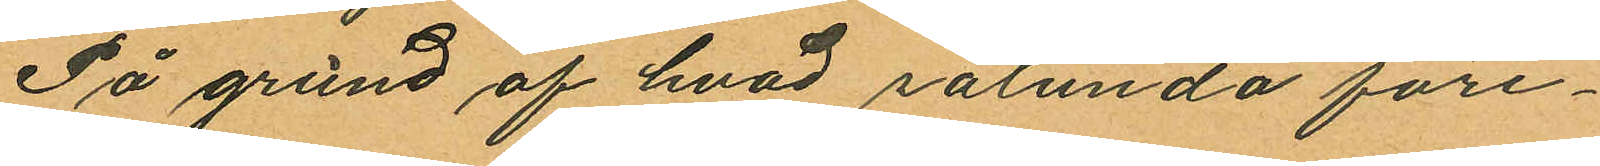På grund af hvad sålunda före¬
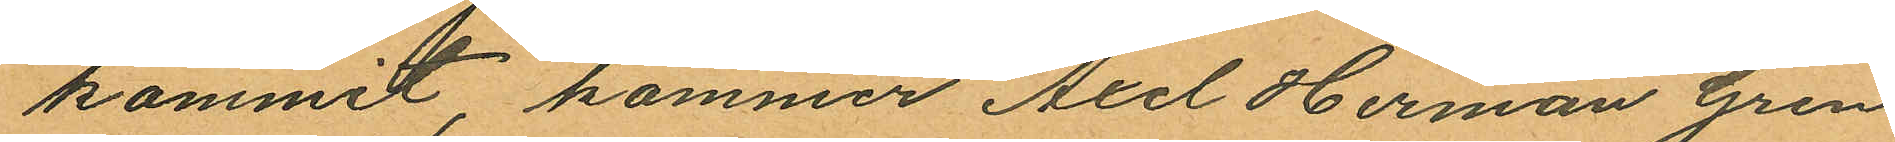kommit, kommer Axel Herman Gren
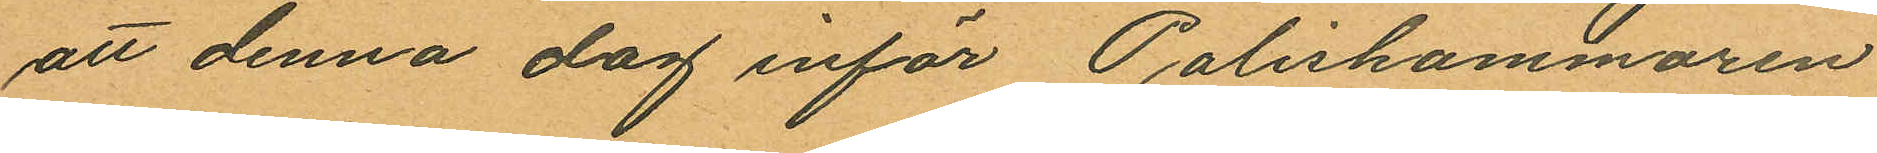att denna dag inför Poliskammaren
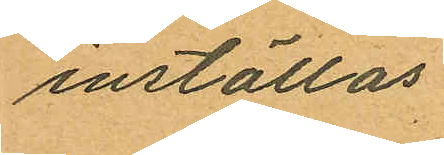inställas.
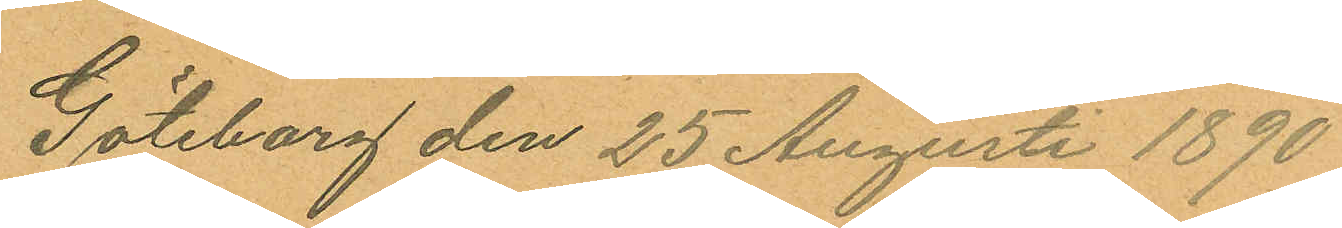Göteborg den 25 Augusti 1890
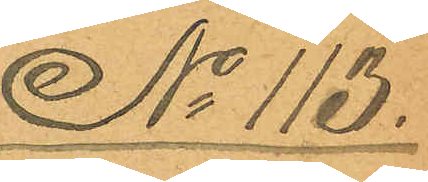No 113.
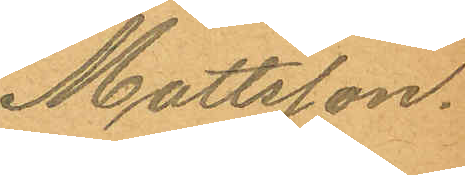Mattsson.
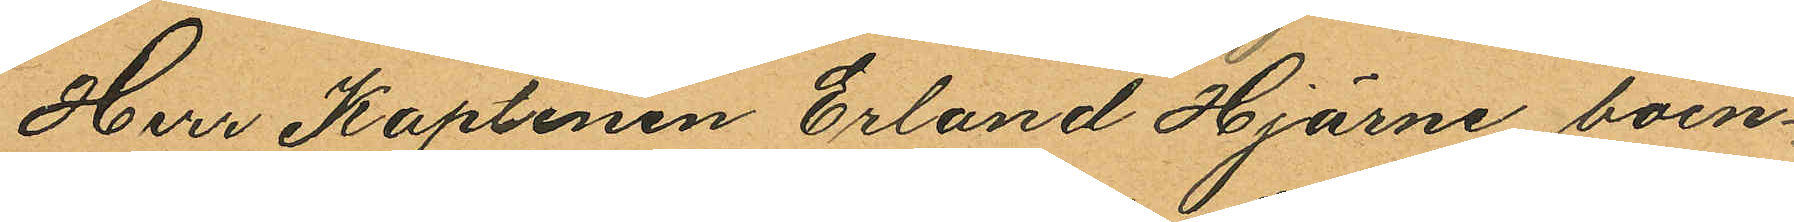Herr Kaptenen Erland Hjärne boen¬
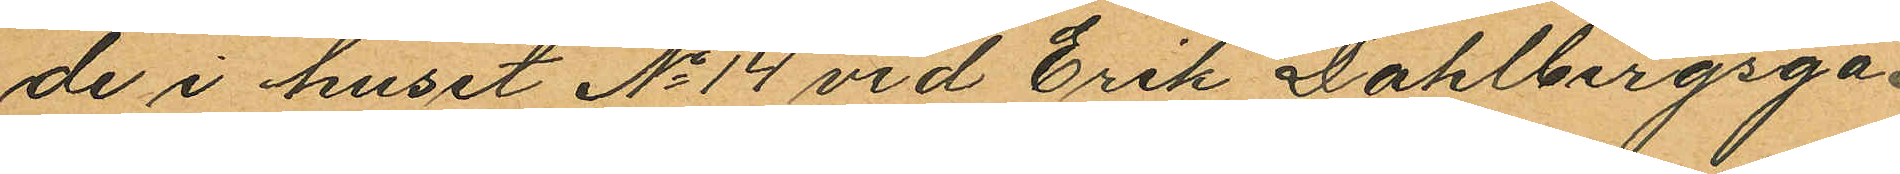de i huset No 14 vid Erik Dahlbergsga¬
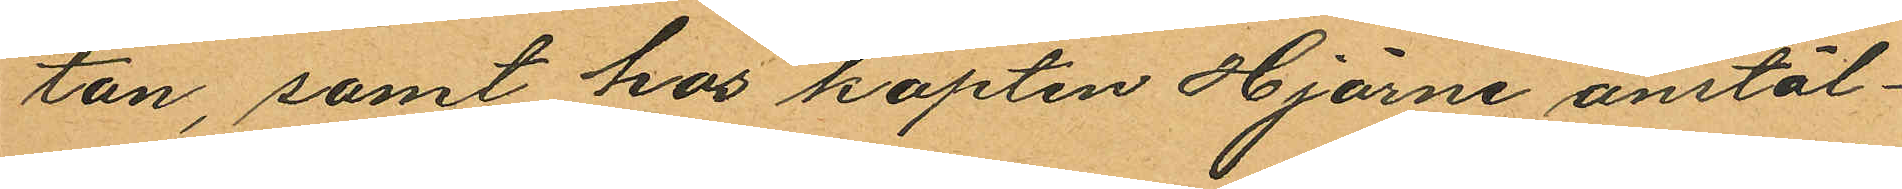tan, samt hos kapten Hjärne anstäl¬
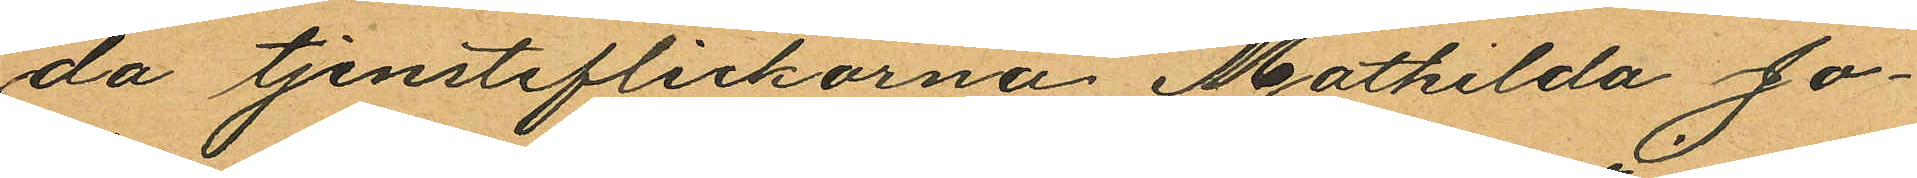da tjensteflickorna Mathilda Jo¬
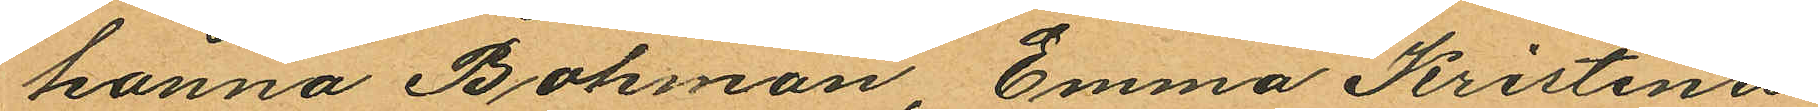hanna Bohman, Emma Kristina
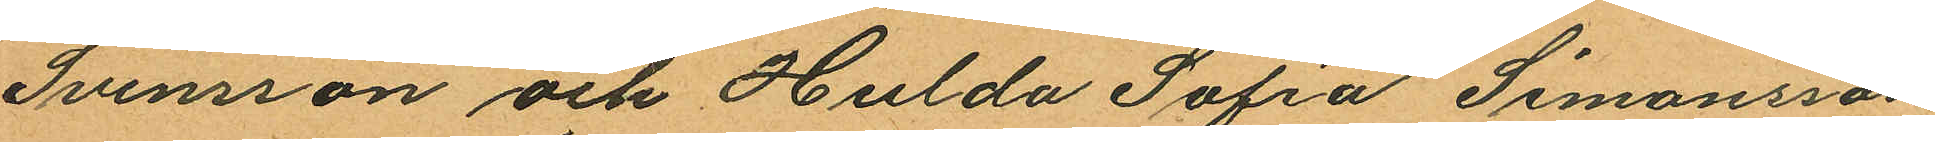Svensson och Hulda Sofia Simonsson
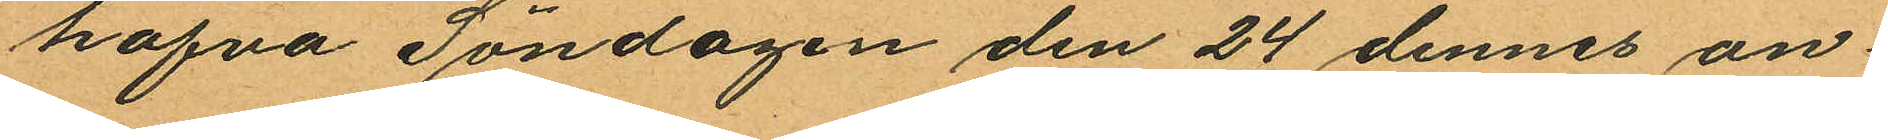hafva Söndagen den 24 dennes an¬
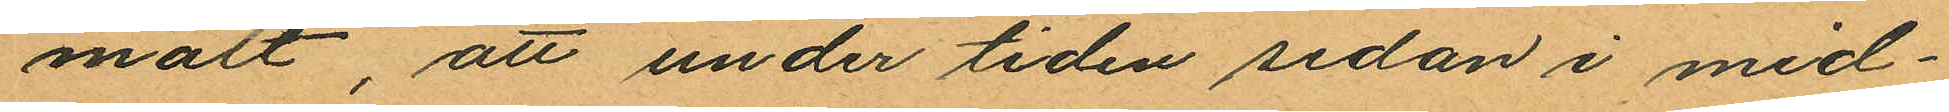mält, att under tiden sedan i mid¬
